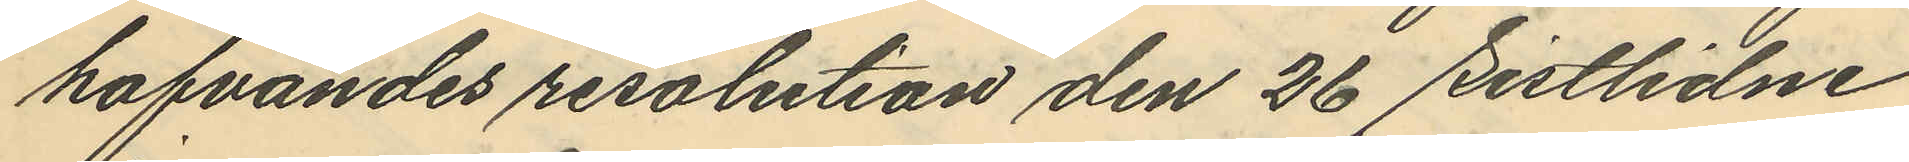hafvandes resolution den 26 sistlidne
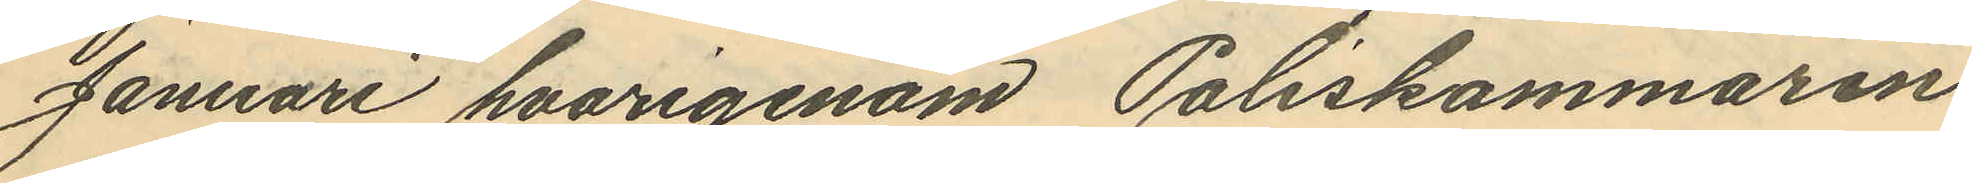Januari hvarigenom Poliskammaren
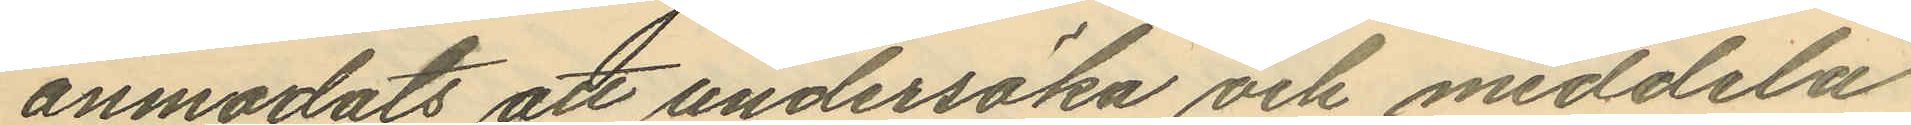anmodats att undersöka och meddela
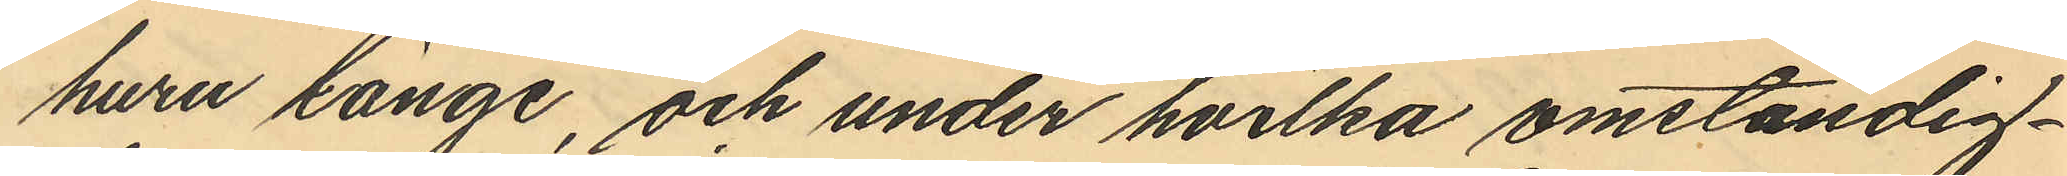huru länge, och under hvilka omständig¬
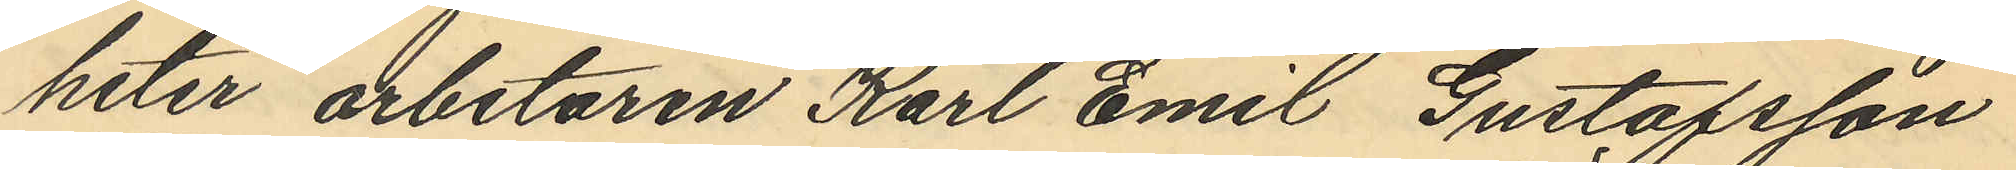heter arbetaren Karl Emil Gustafsson
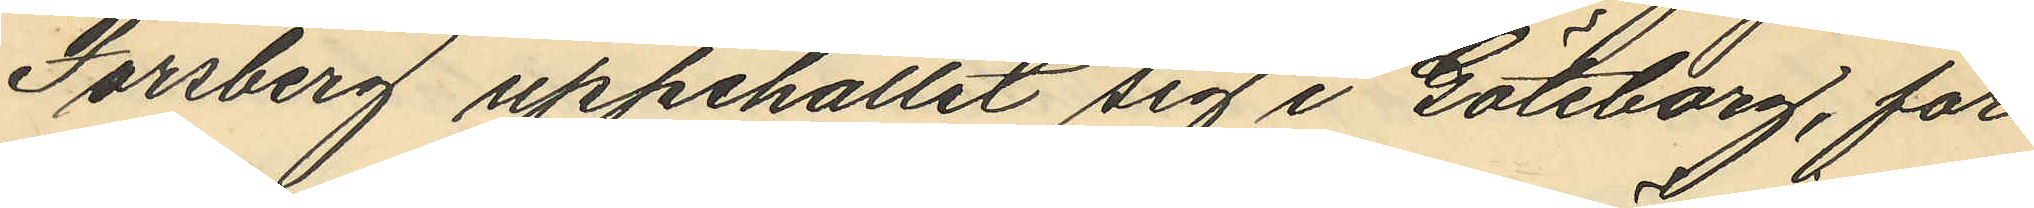Forsberg uppehållit sig i Göteborg, får
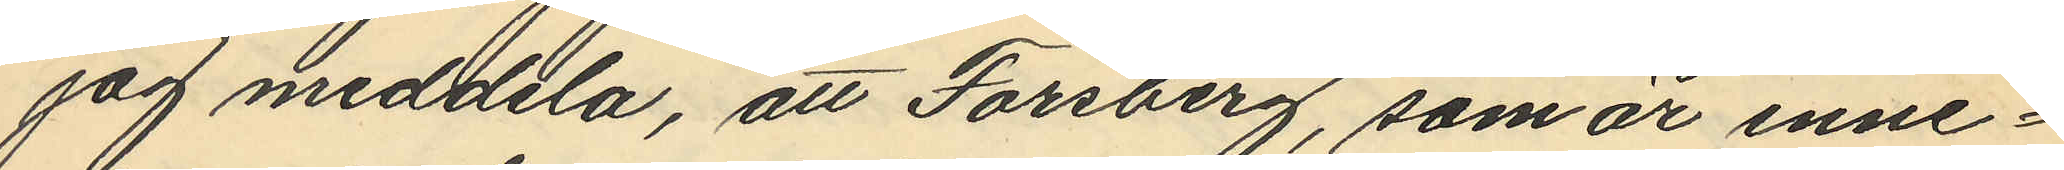jag meddela, att Forsberg, som är inne¬
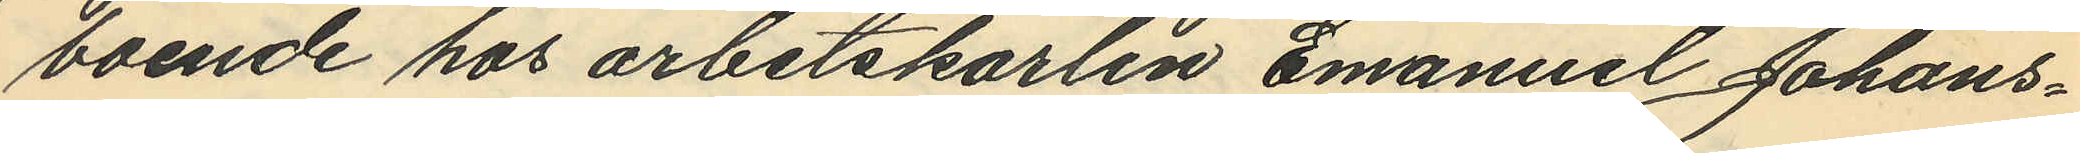boende hos arbetskarlen Emanuel Johans¬
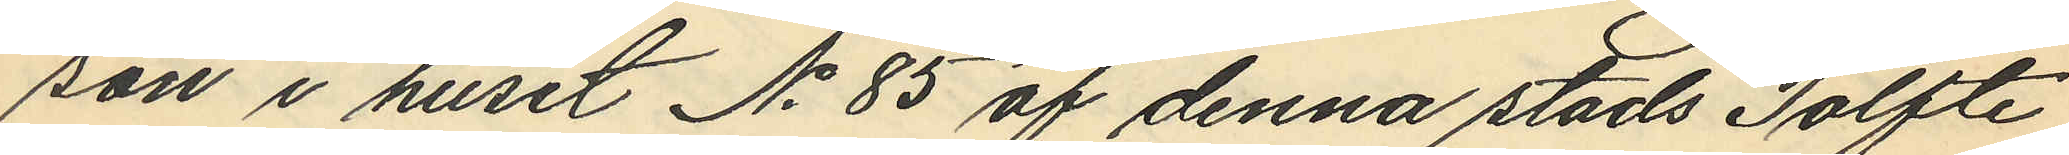son i huset No 85 af denna stads Tolfte
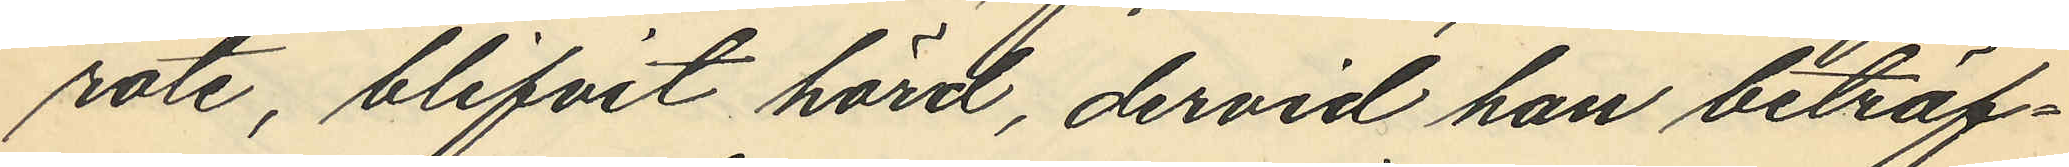rote, blifvit hörd, dervid han beträf¬
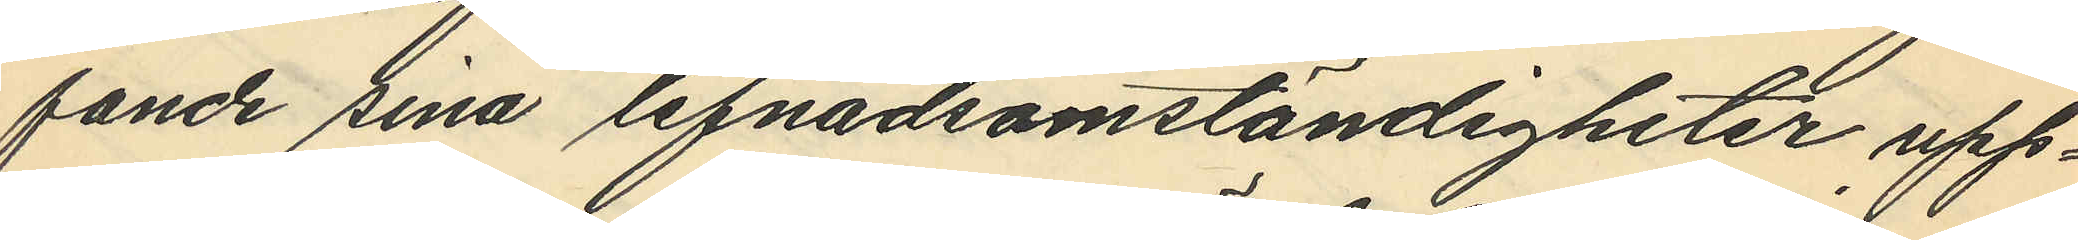fande sina lefnadsomständigheter upp¬
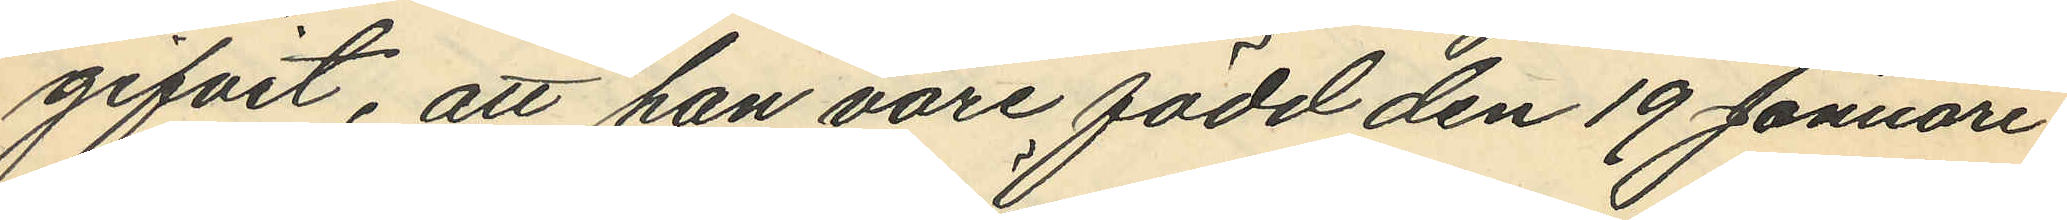gifvit, att han vore född den 19 Januari
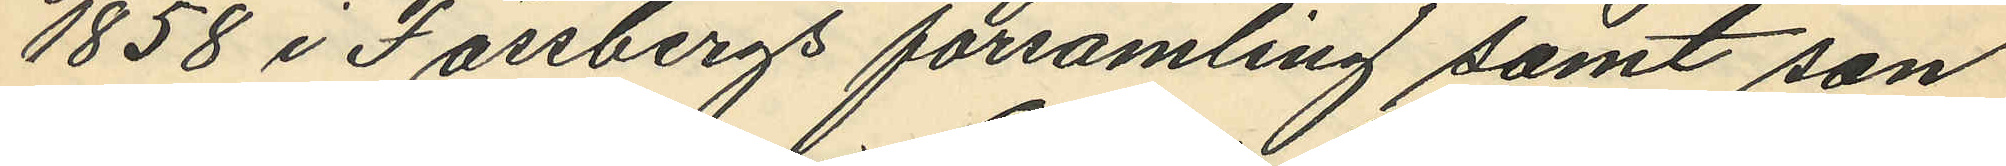1858 i Fässbergs församling samt son
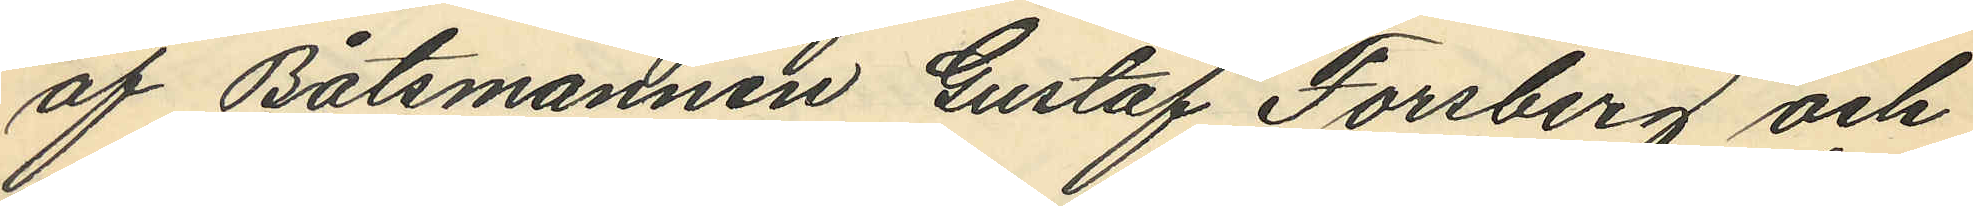af Båtsmannen Gustaf Forsberg och
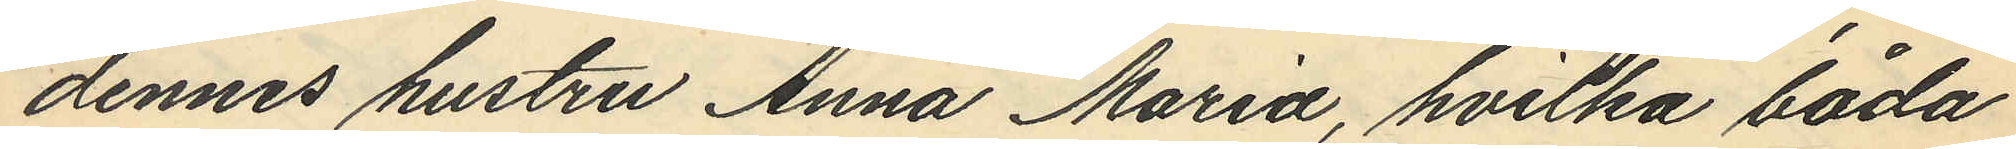dennes hustru Anna Maria, hvilka båda
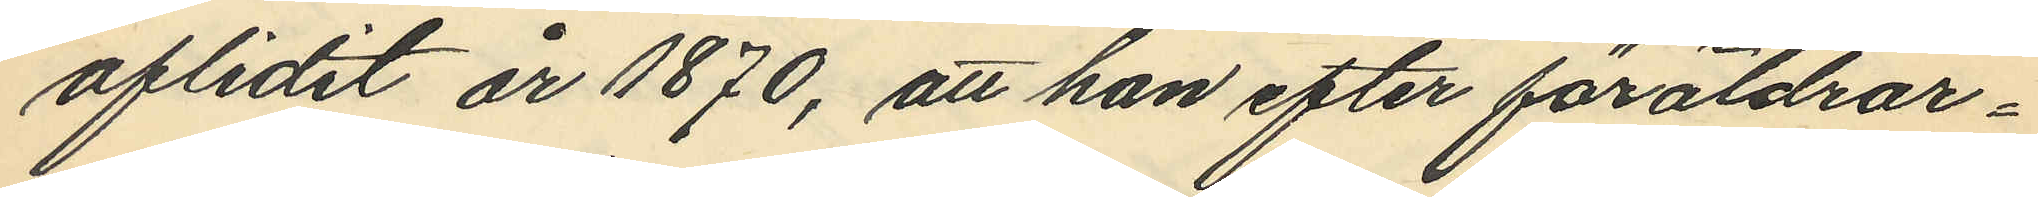aflidit år 1870, att han efter föräldrar¬
